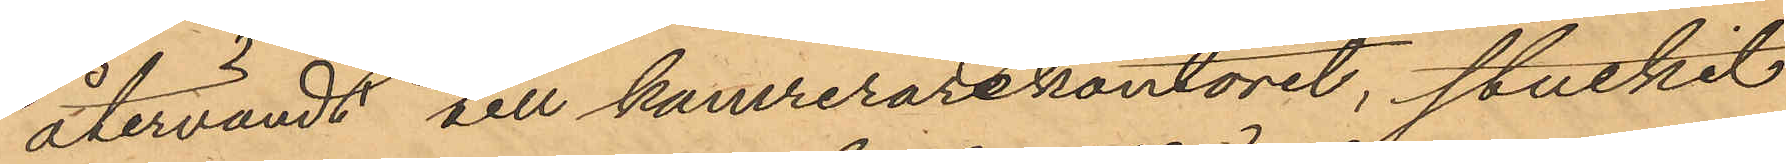återvändt till kamrerarekontoret, stuckit
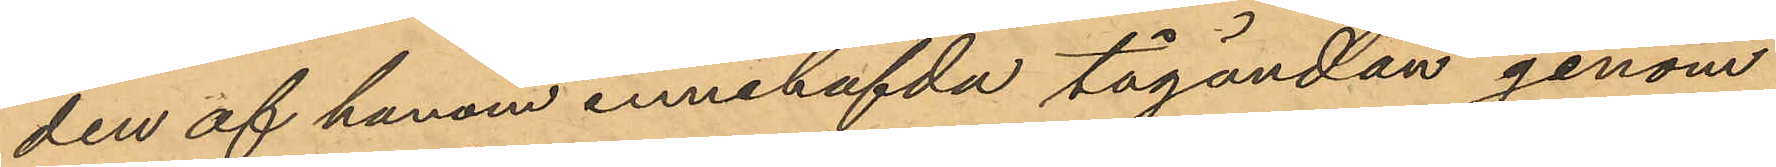den af honom innehafda tågändan genom
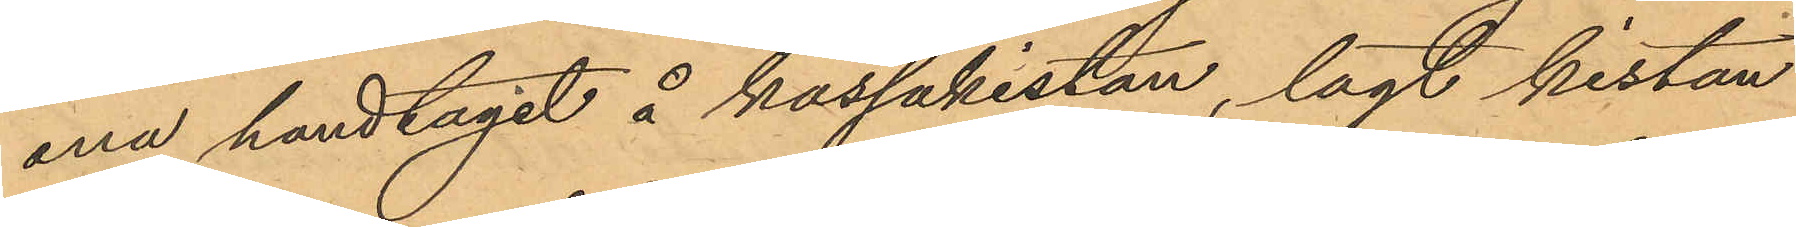ena handtagit å kassakistan, lagt kistan
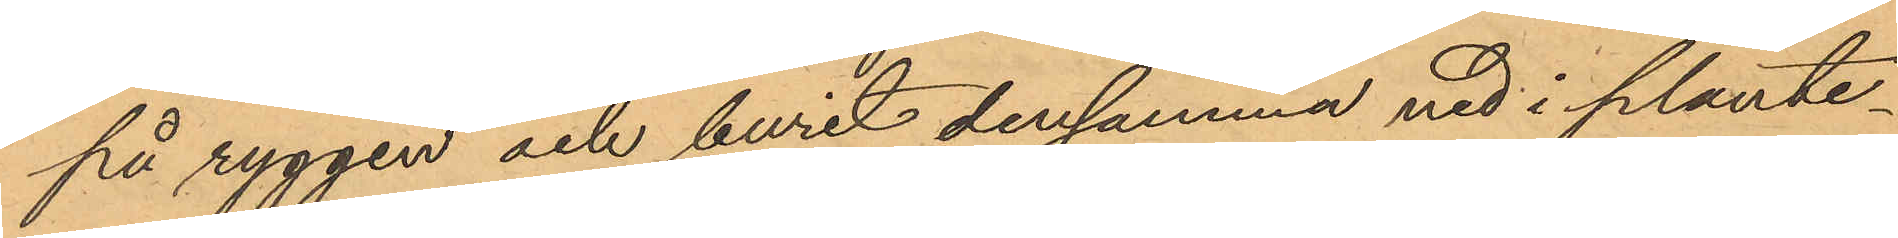på ryggen och burit densamma ned i plante¬
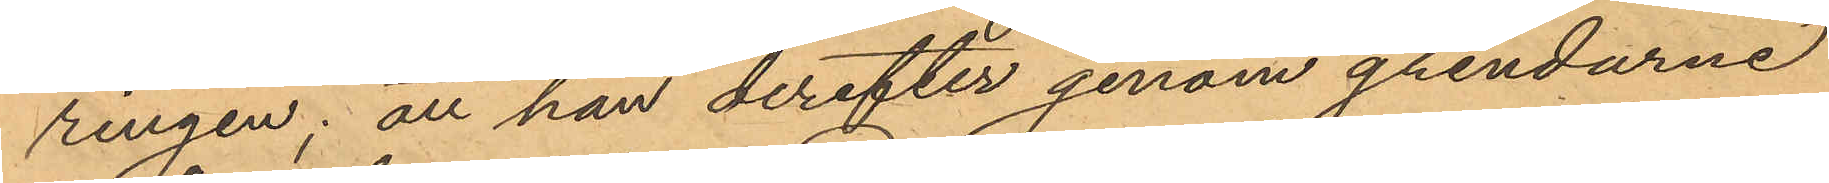ringen; att han derefter genom grindarne
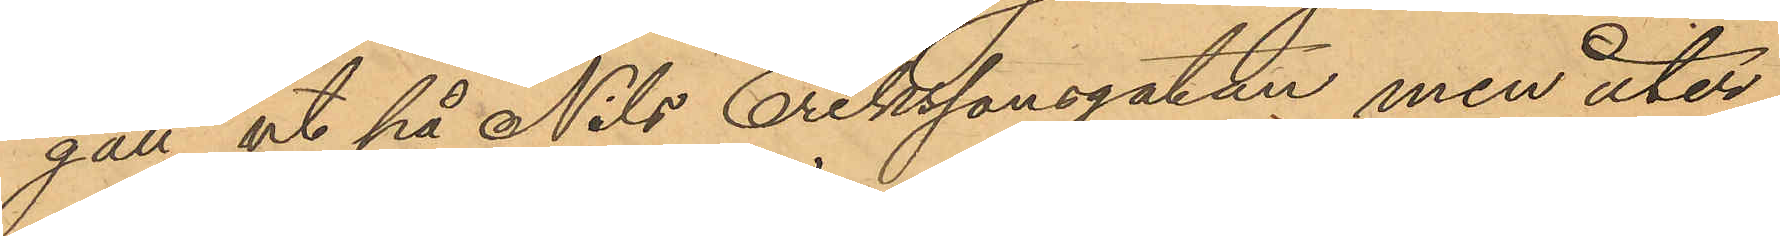gått ut på Nils Erikssonsgatan, men åter
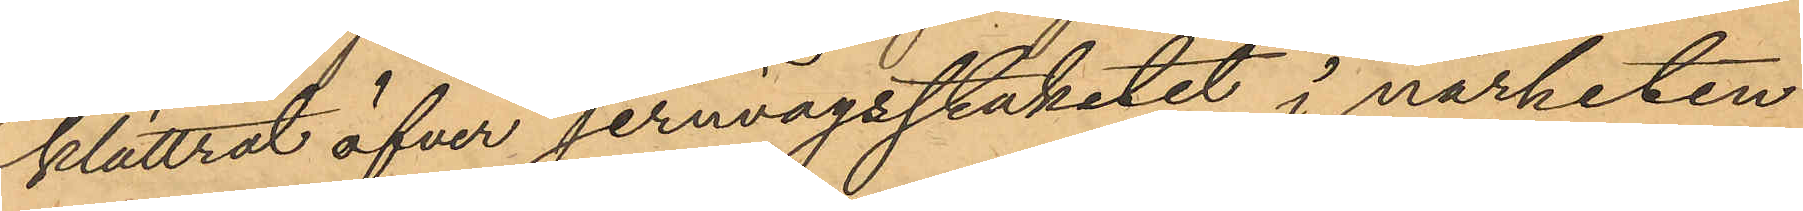klättrat öfver jernvägsstaketet i närheten
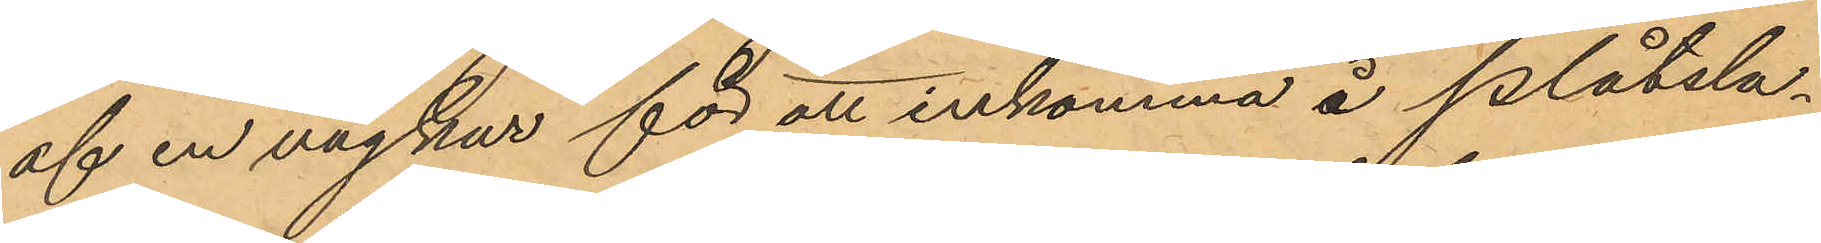af en vägkur för att inkomma å plåtsla¬
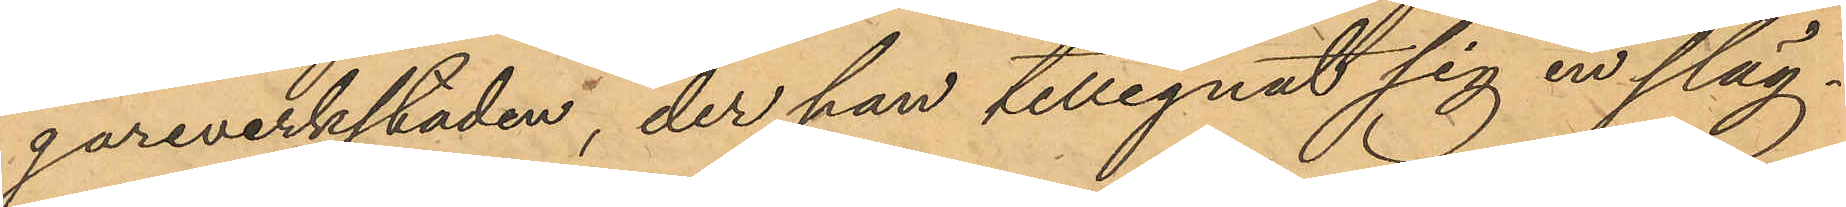gareverkstaden, der han tillegnat sig en släg¬
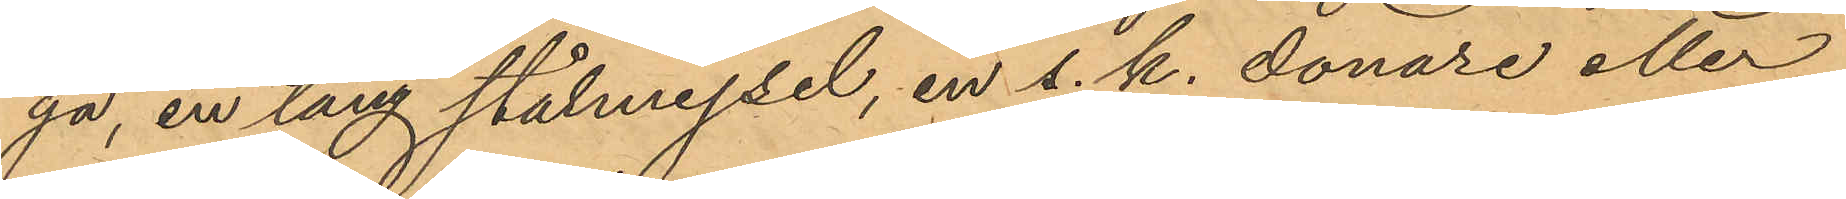ga, en lång stålmejsel, en s. k. donare eller
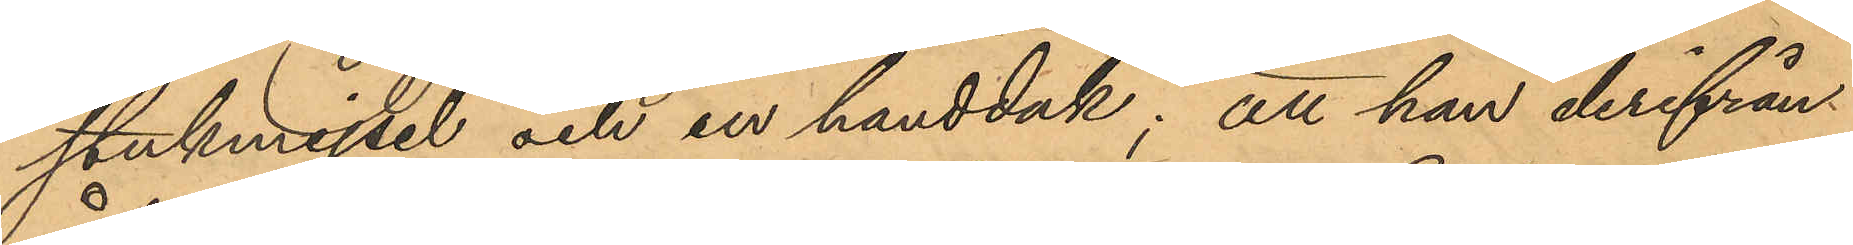stukmejsel och en handduk; att han derifrån
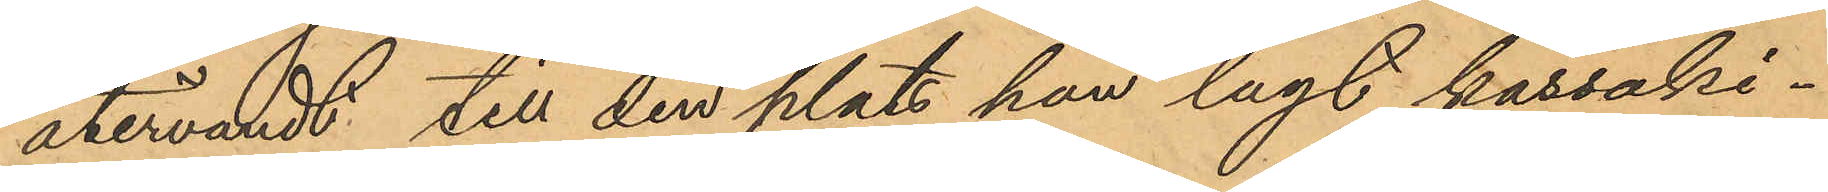återvändt till den plats han lagt kassaki¬
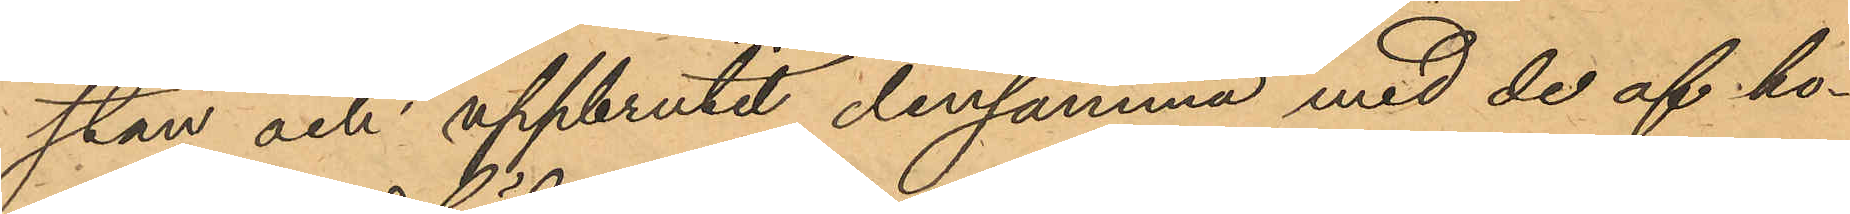stan och uppbrutit densamma med de af ho¬
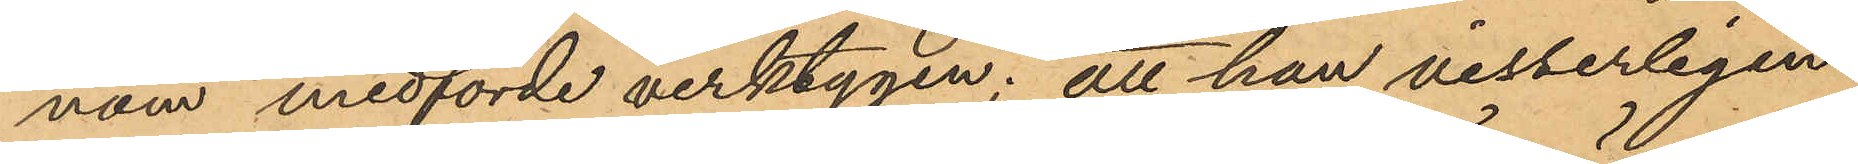nom medförde verktygen; att han visserligen
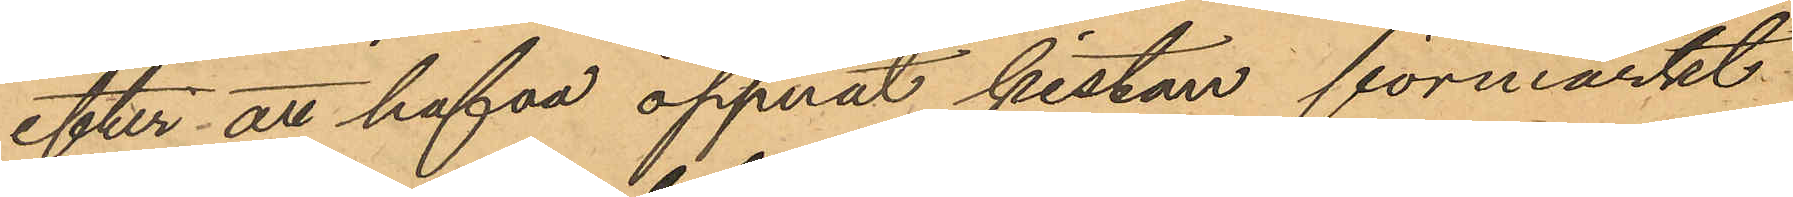efter att hafva öppnat kistan förmärkt
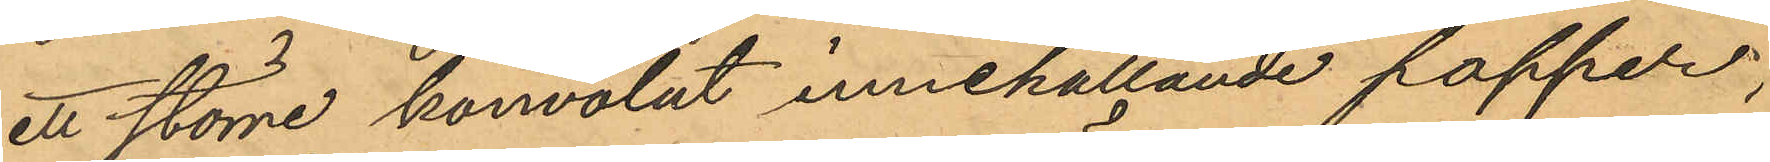ett större konvolut innehållande papper,
